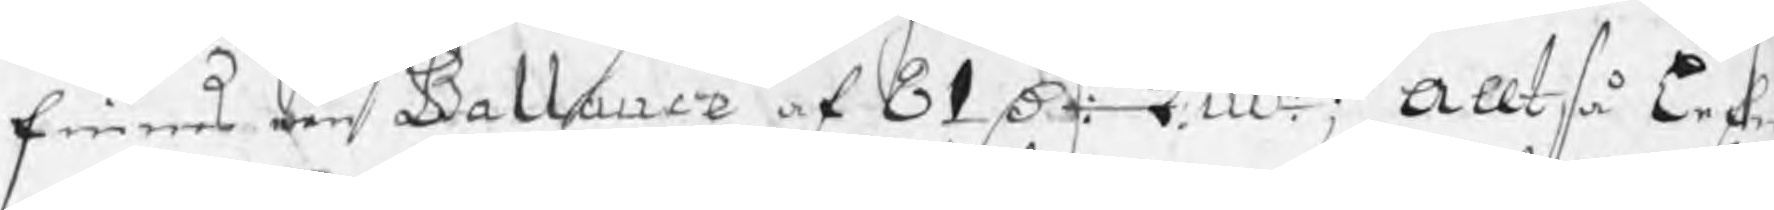finnes een Ballance af 81 Dr: kmt; Alltså Lefw
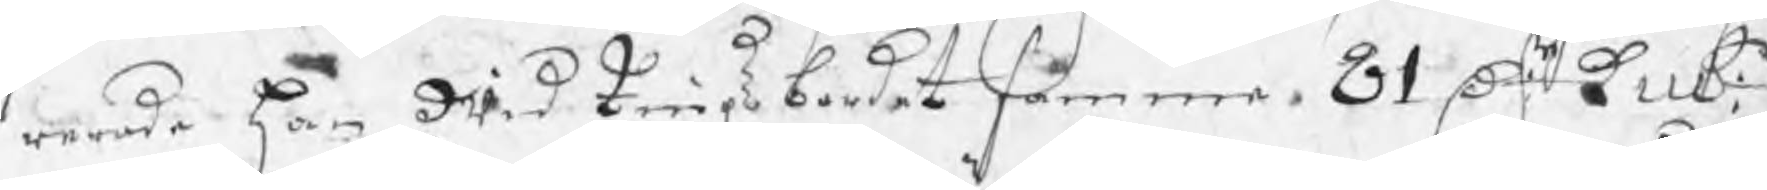rande han wid tingsbordet samma 81 Dr: kmt:
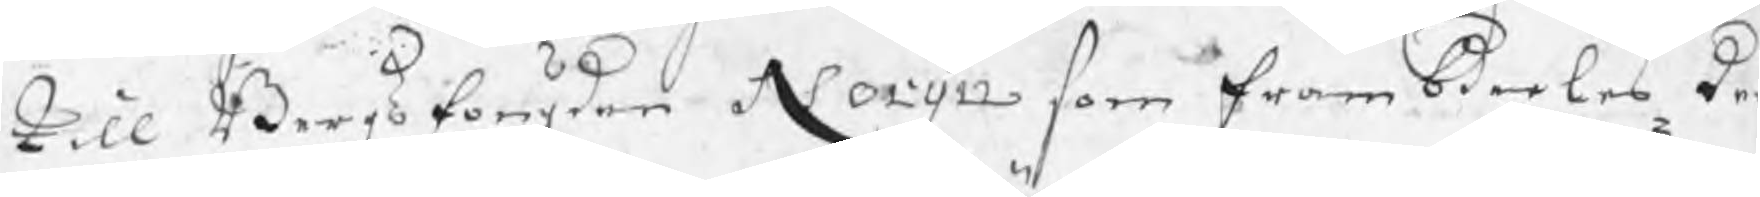till Bergsfougden Norijn som frambdeeles ka
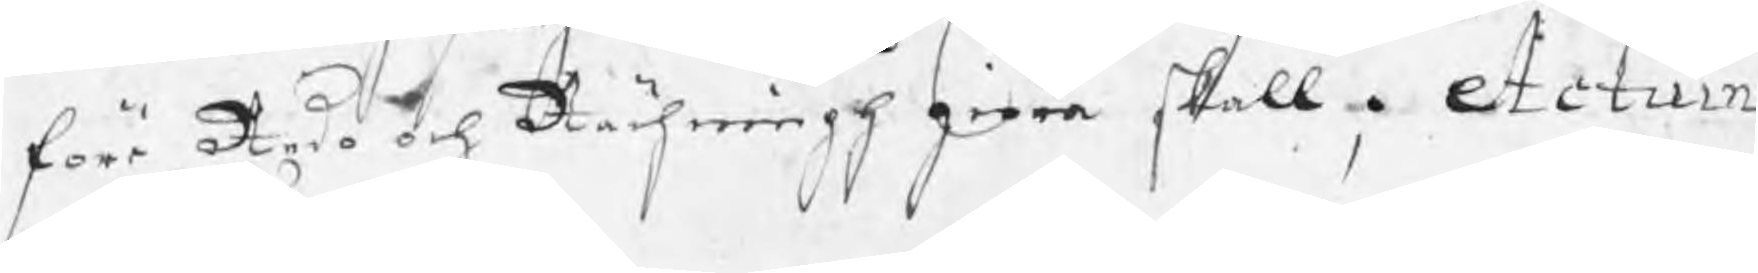före Redo och Rächningh giöra skall, Actum ut Supra.
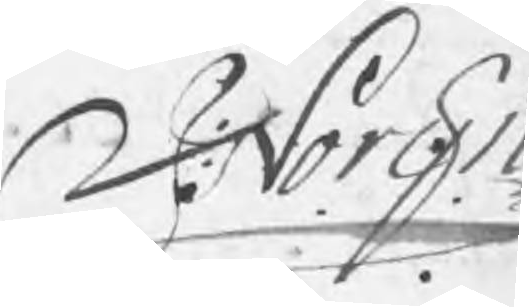J: Norijn
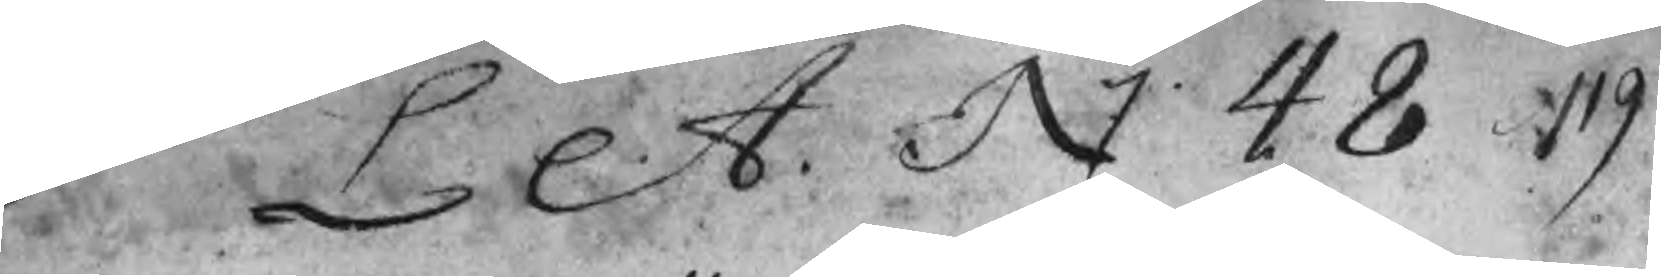L A. N 48  119
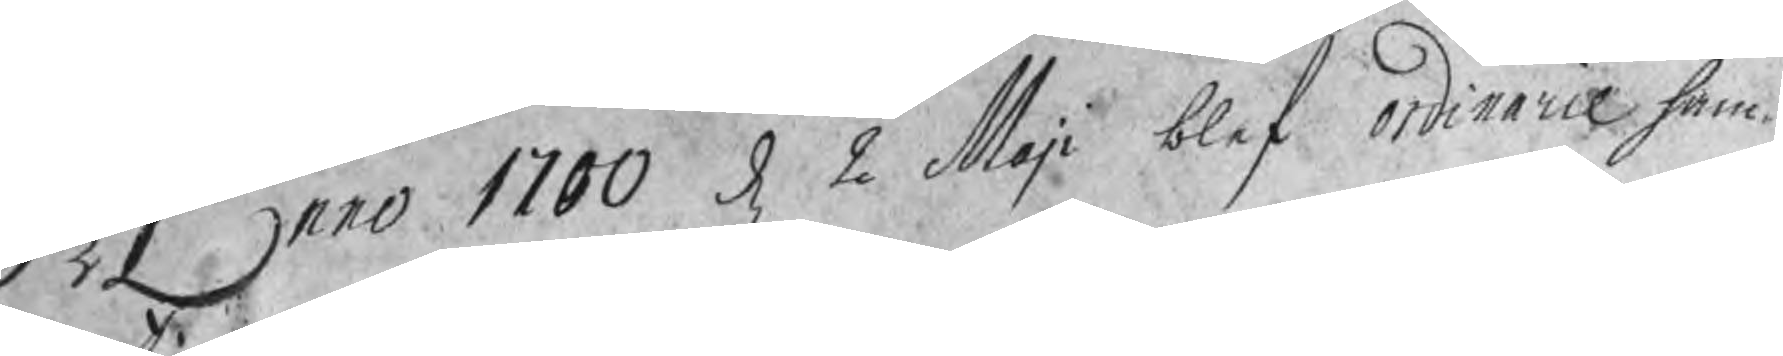Anno 1700 d 2 Maji blef ordinarie ham¬
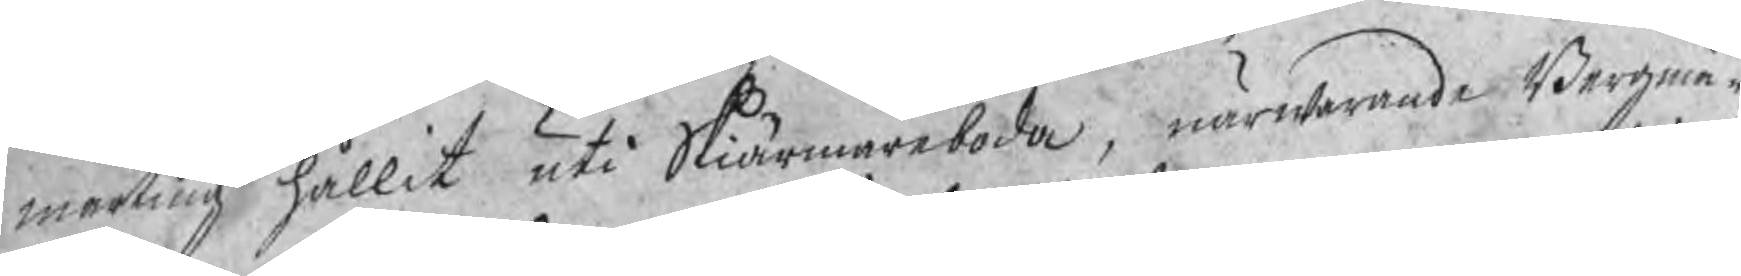marting hållit uti Skiärmarboda, närwarande Bergmä¬
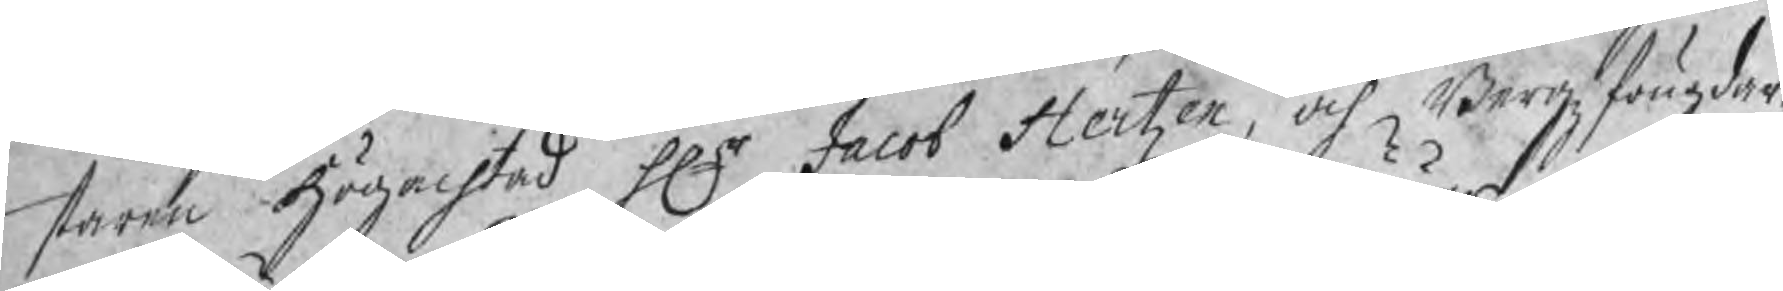stare högachtad Hr Jacob Hertzen, och Bergzfougdar¬
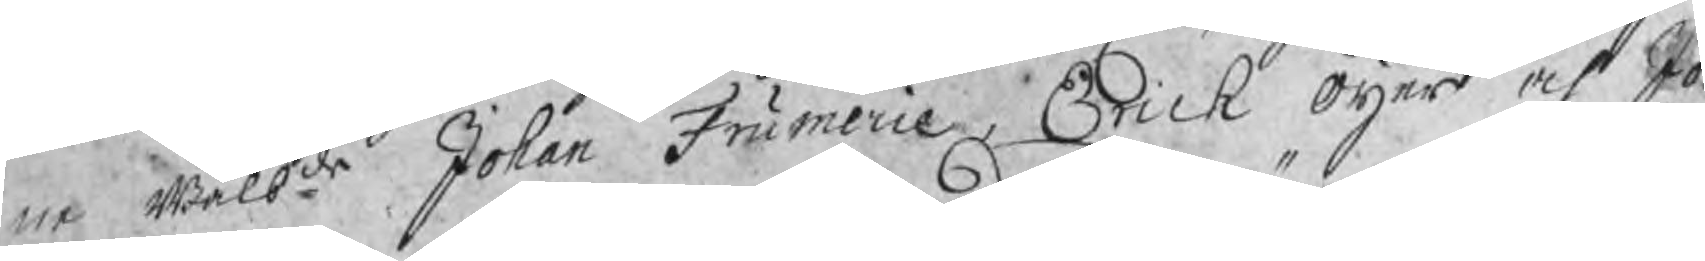ne wälbde Johan Frumerie, Ericyh Öijer och Jo¬
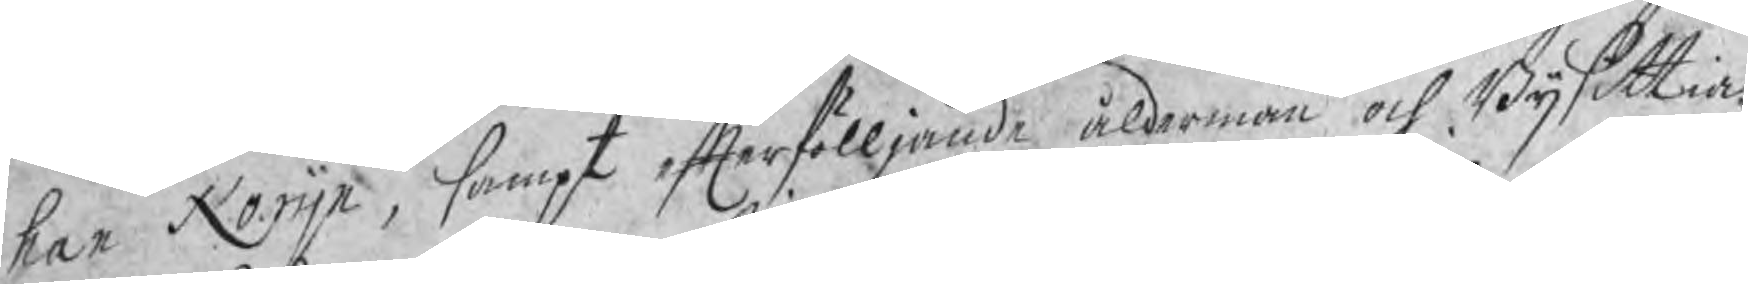han Norijn, sampt efterfölljande åldermän och Bijsittia¬
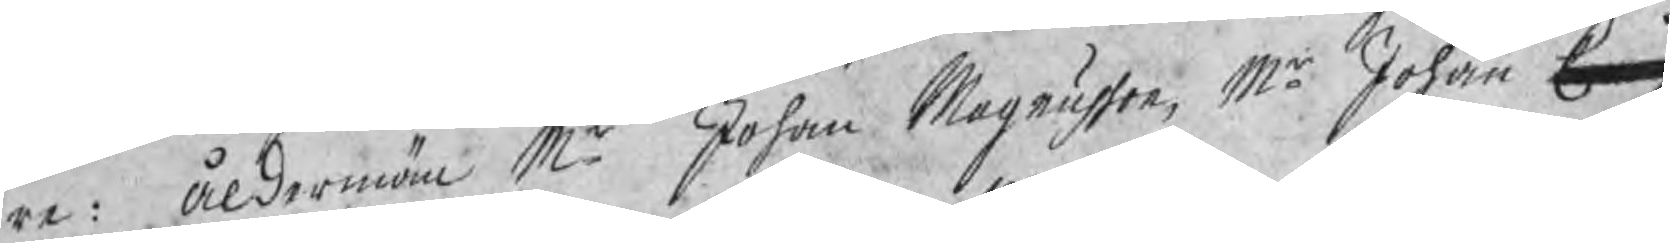re: åldermän Mr Johan Magnusson, Mr Johan Erich
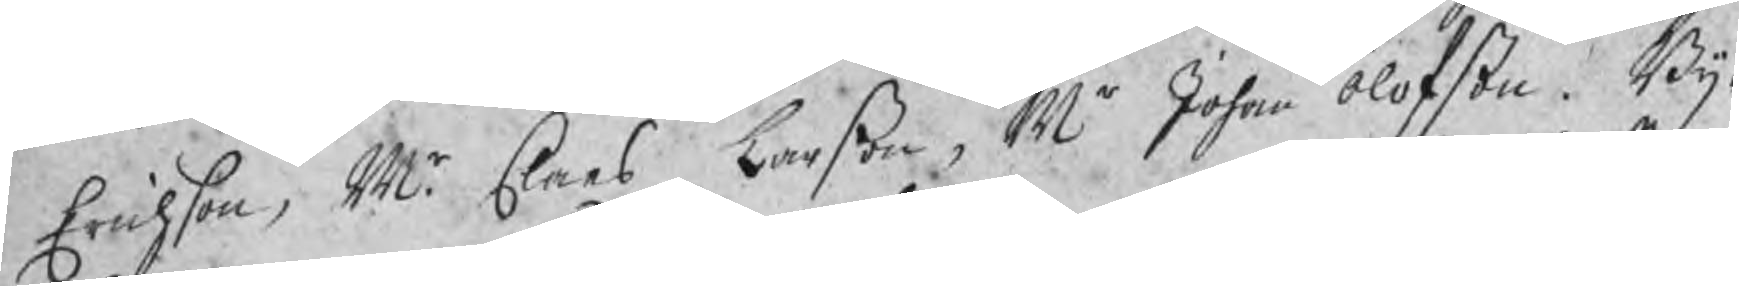Erichson, Mr Claes Larßon, Mr Johan Olofßon. Bij¬
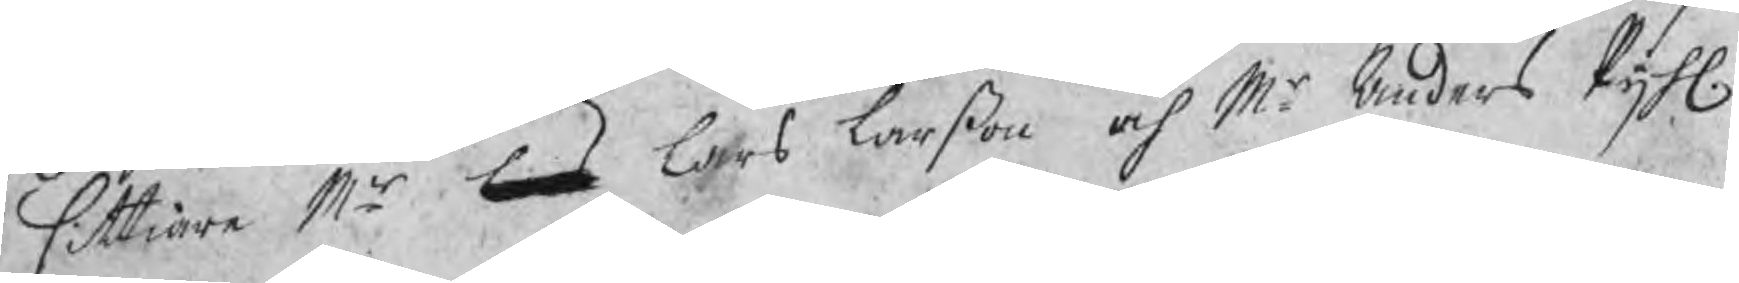sittiare Mr Lars Lars Larßon och Mr Anders Pijhl
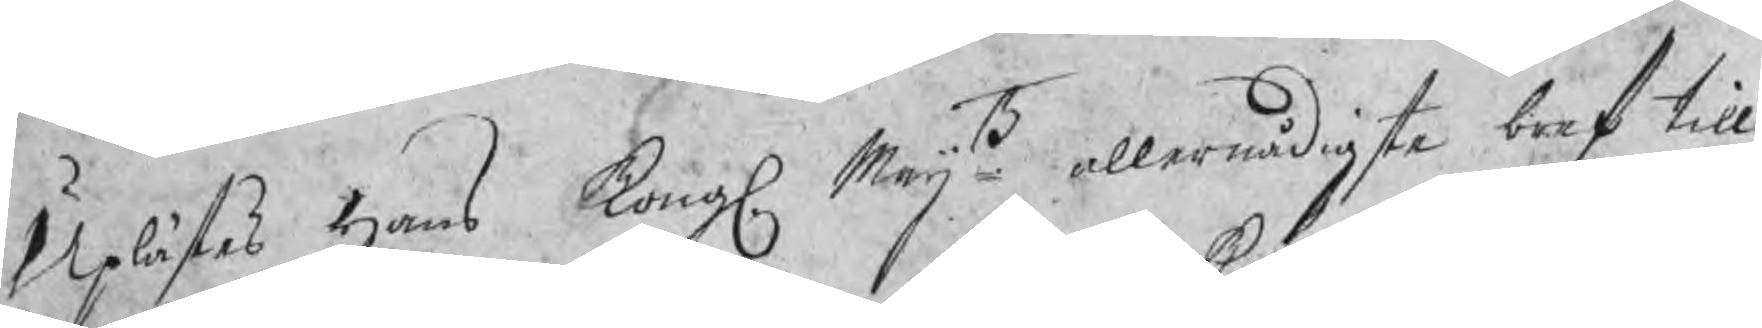Uplästes Hans Kongl. Maijtz allernådigste bref till
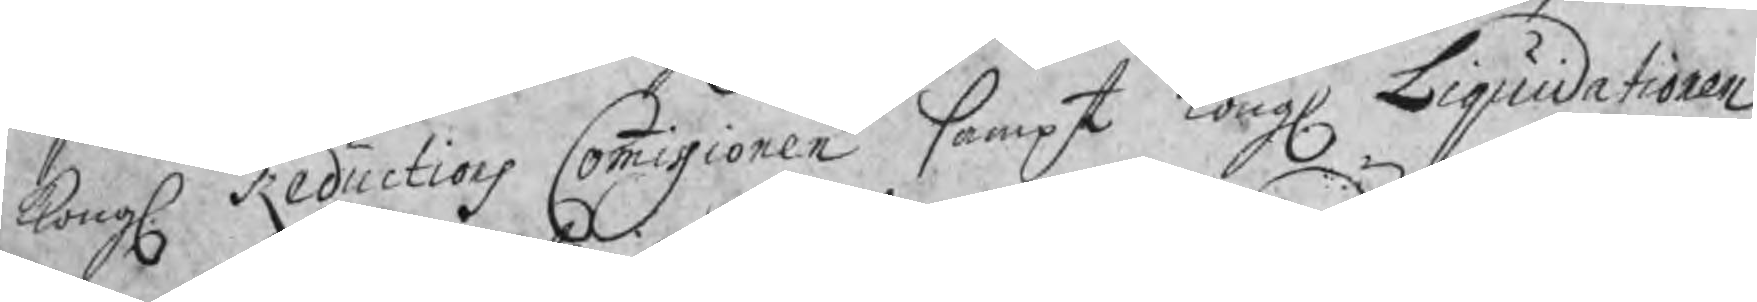Kongl Reductions Commissionen sampt Kongl Liquidationen,
